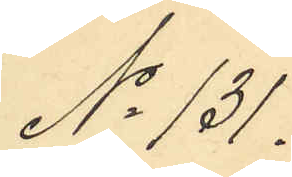No 131.
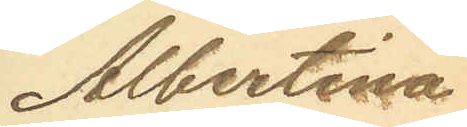Albertina
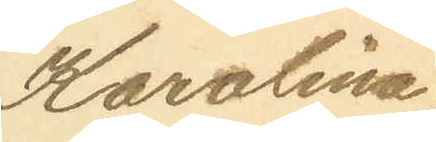Karolina
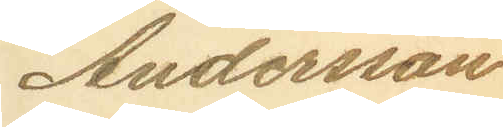Andersson
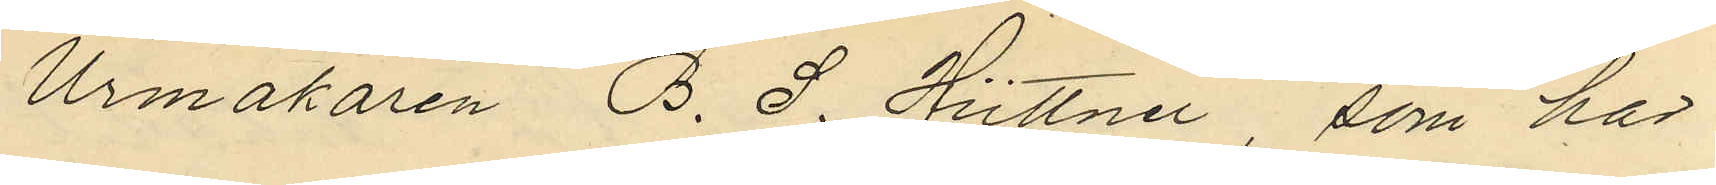Urmakaren B. S. Hüttner, som har
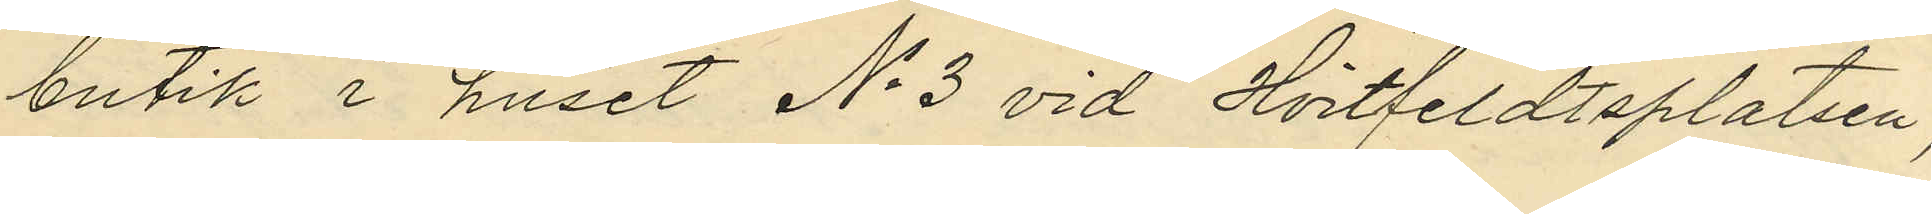butik i huset No 3 vid Hvitfeldtsplatsen,
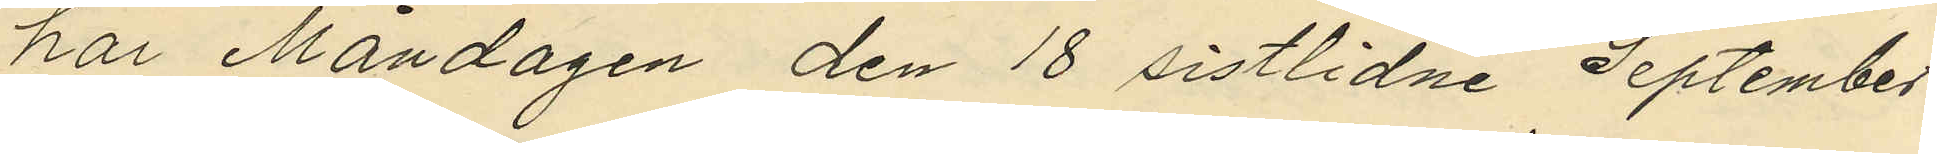har Måndagen den 18 sistlidne September
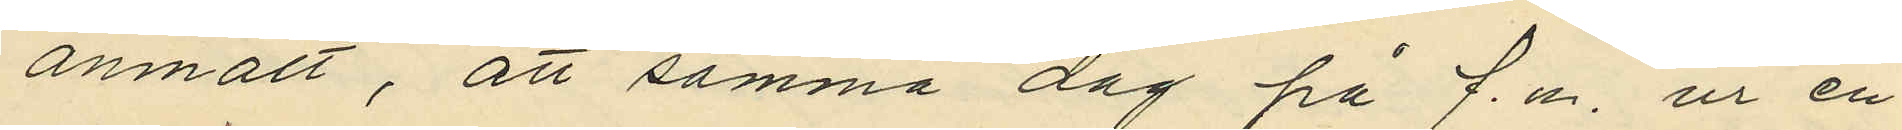anmält, att samma dag på f.m. ur en
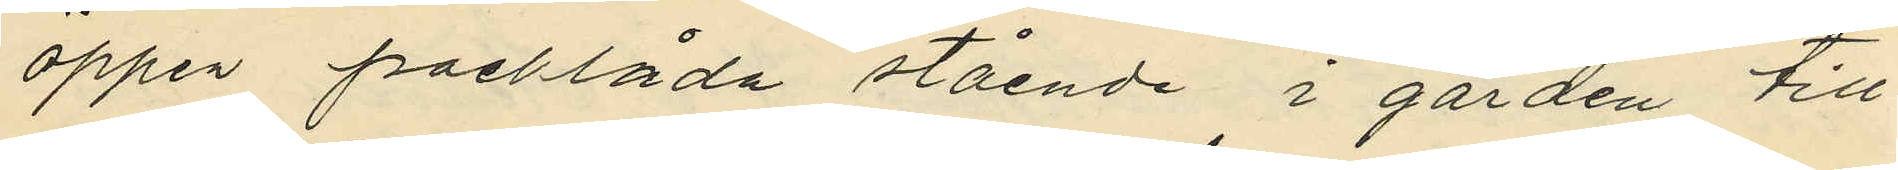öppen packlåda stående i gården till
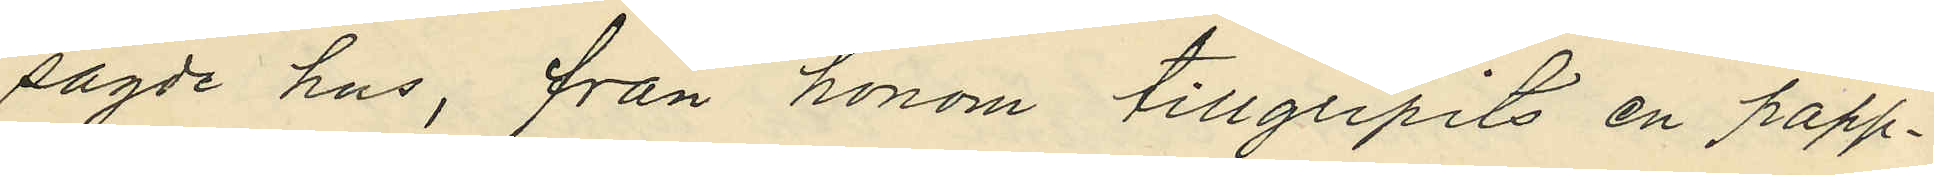sagde hus, från honom tillgripits en papp¬
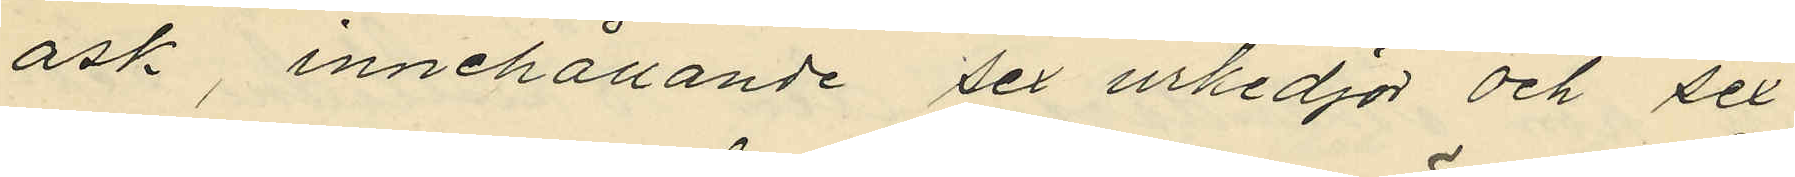ask, innehållande sex urkedjor och sex
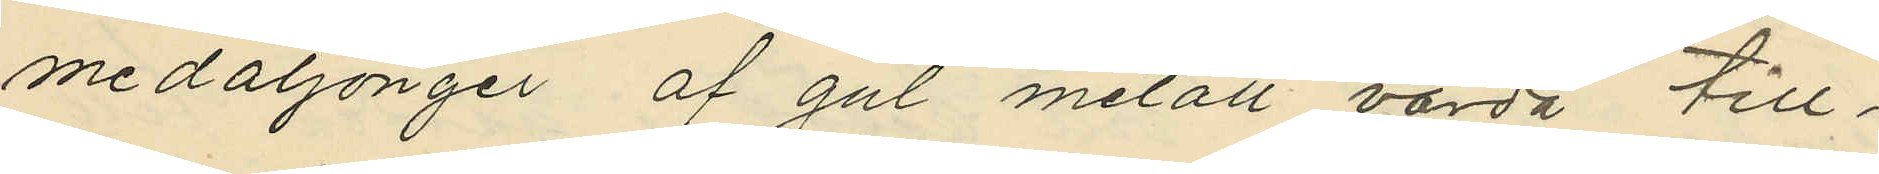medaljonger af gul metall värda till¬
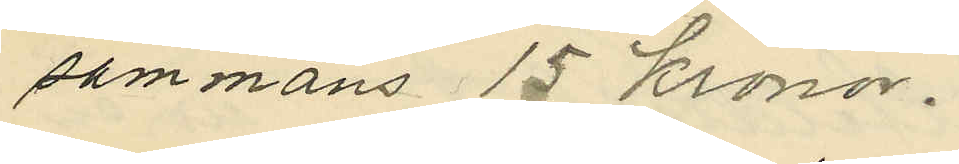sammans 15 Kronor.
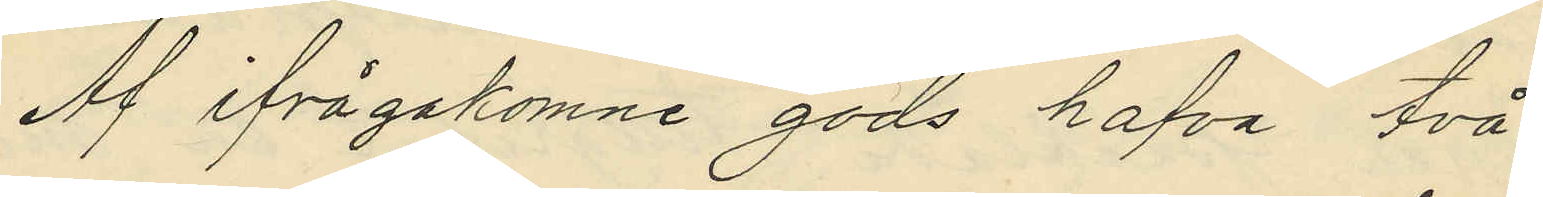Af ifrågakomne gods hafva två
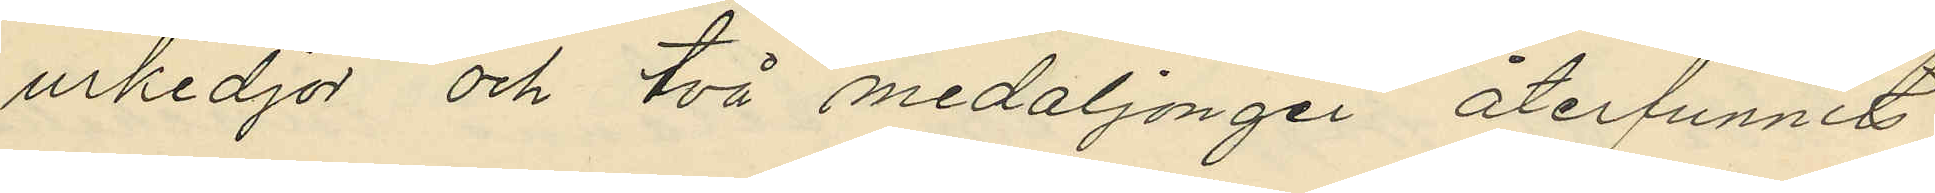urkedjor och två medaljonger återfunnits
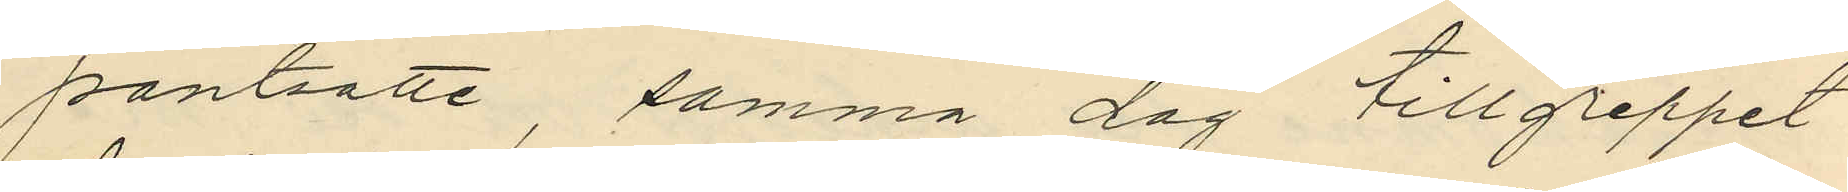pantsatte, samma dag tillgreppet
